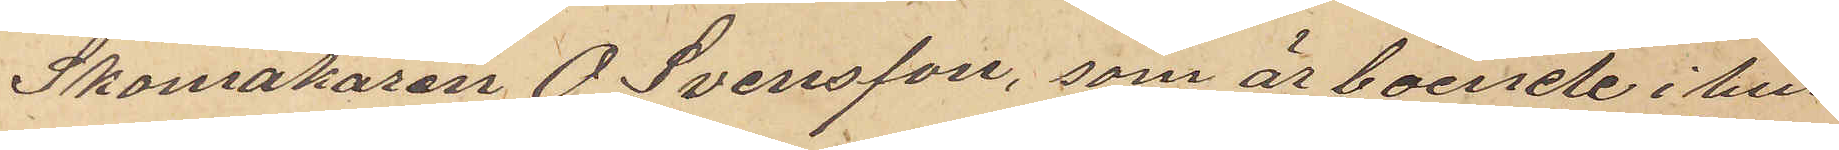Skomakaren O. Svensson, som är boende i hus¬
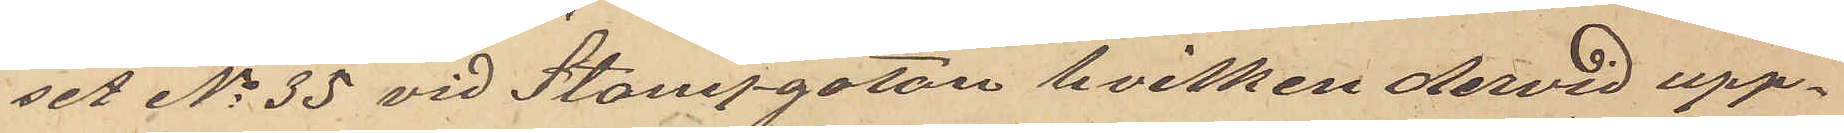set No 35 vid Stampgatan hvilken dervid upp¬
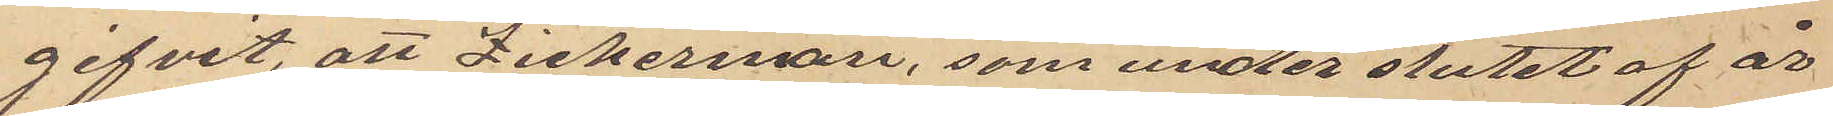gifvit, att Zickerman, som under slutet af år
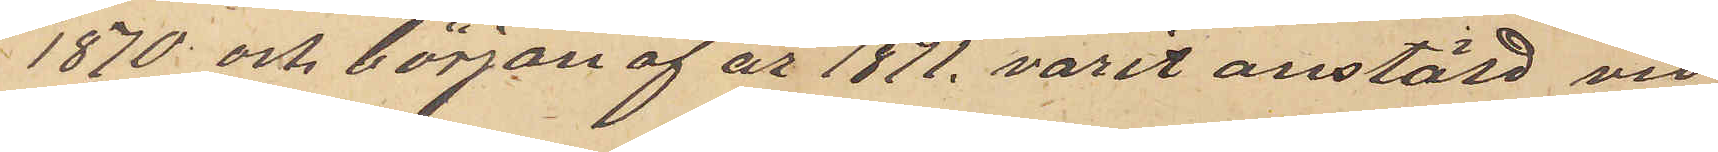1870 och början af år 1871, varit anstäld vid
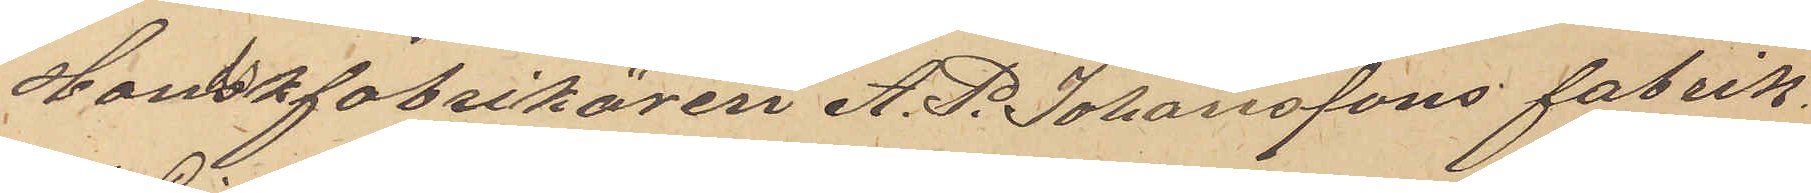Handskfabrikören A. P. Johanssons fabrik
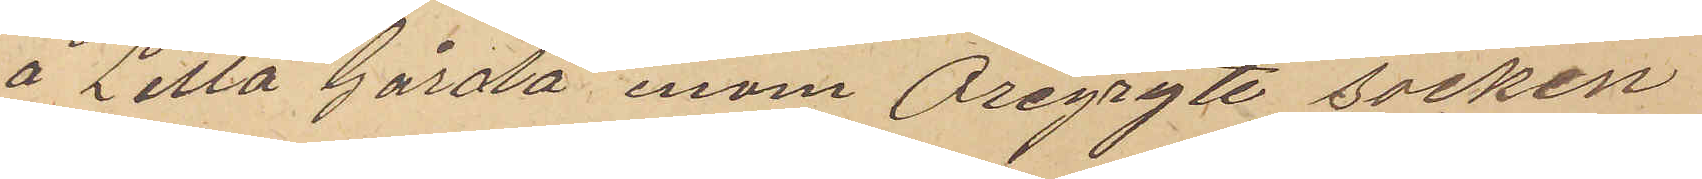å Lilla Gårda inom Öregryte socken
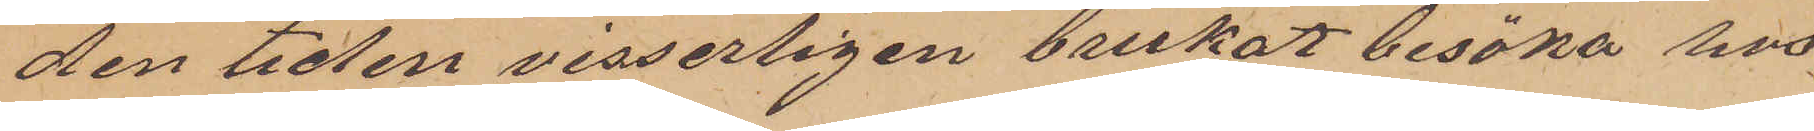den tiden visserligen brukat besöka hos
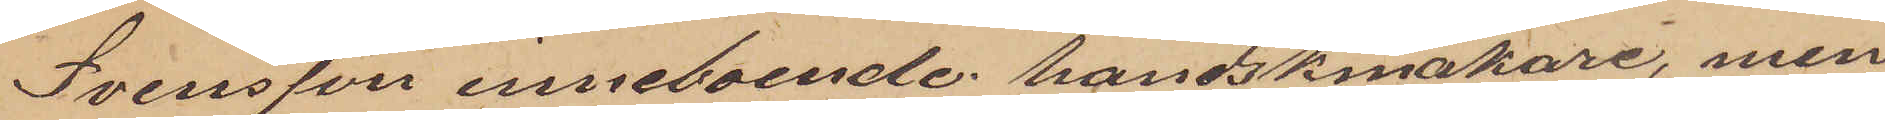Svensson inneboende handskmakare, men
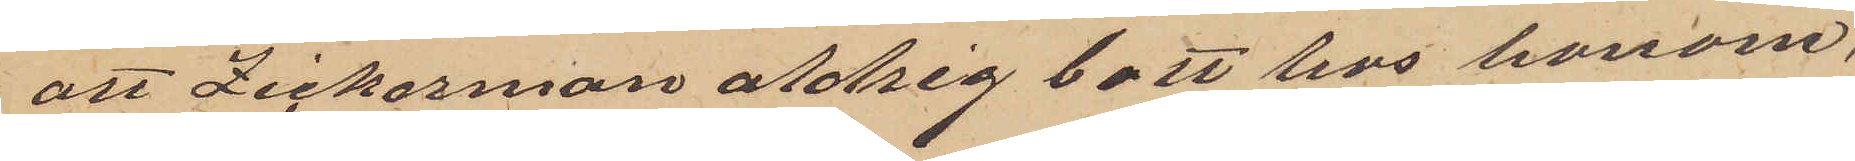att Zickerman aldrig bott hos honom;
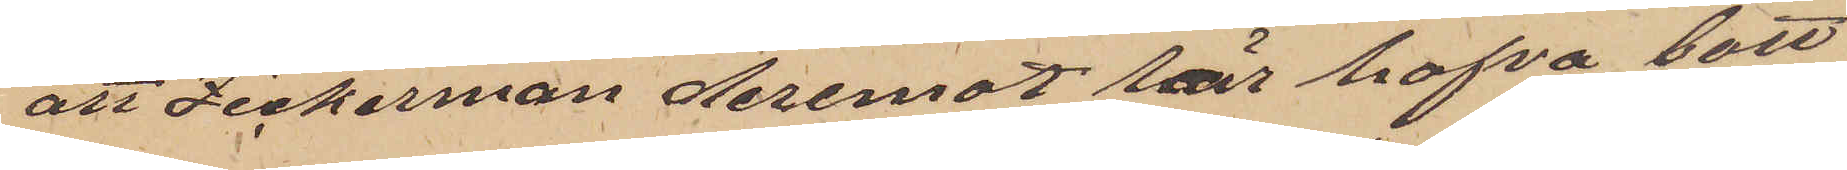att Zickerman deremot lär hafva bott
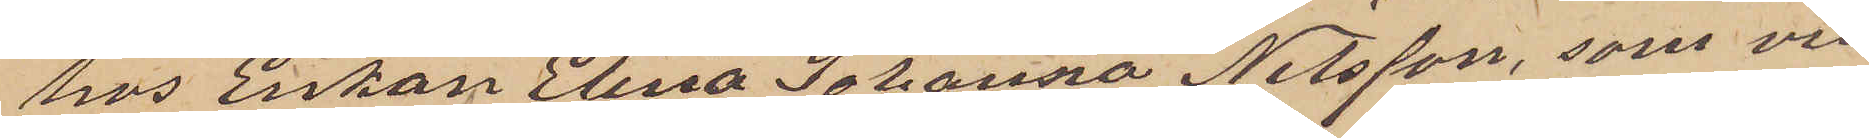hos Enkan Elina Johanna Nilsson, som vid
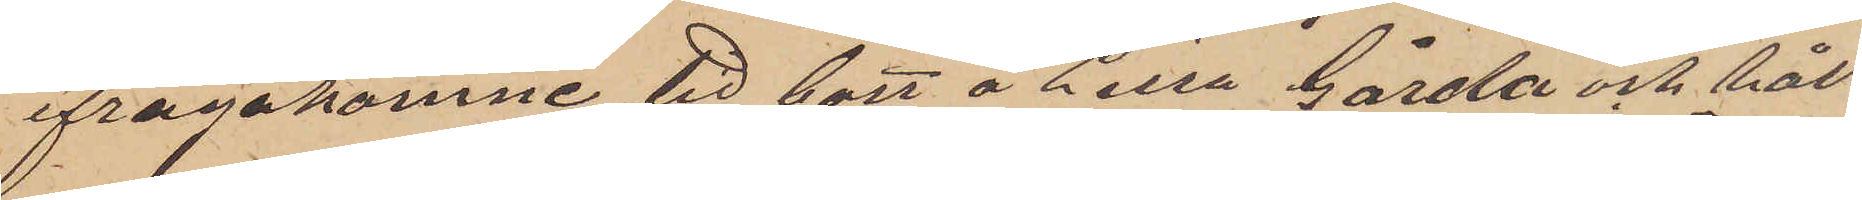ifrågakomne tid bott å Lilla Gårda och hål¬
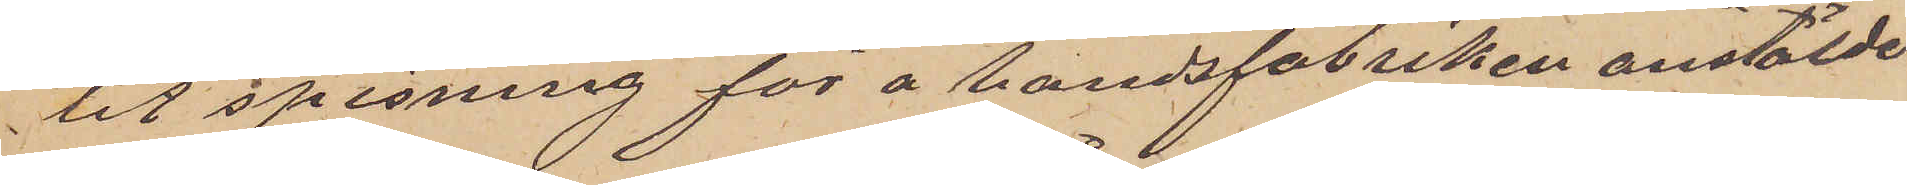lit spisning för å handskfabriken anstälde
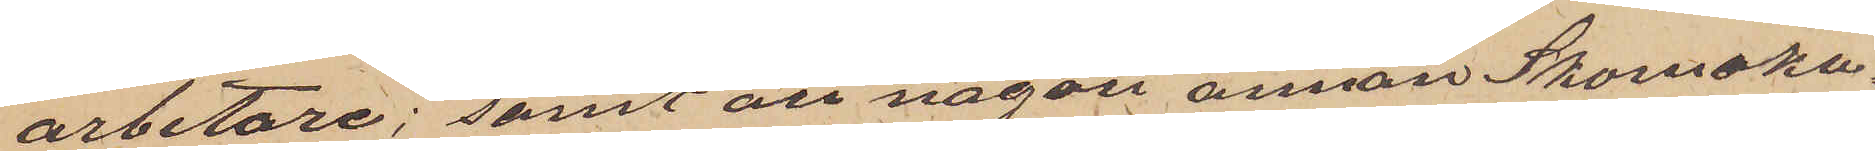arbetare; samt att någon annan Skomaka¬
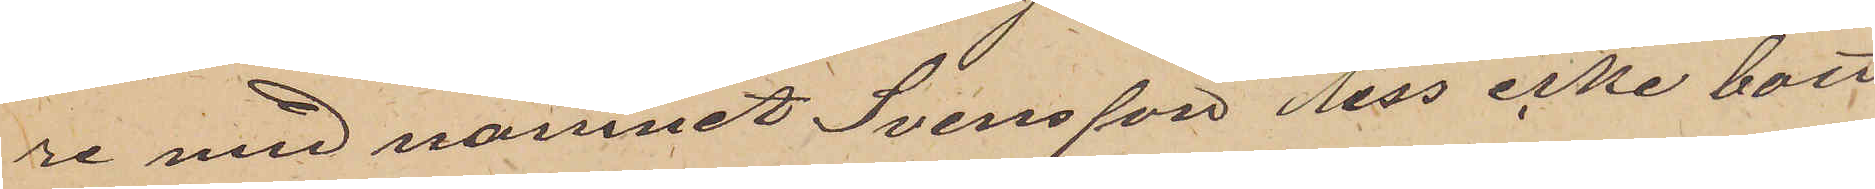re med namnet Svensson dess icke bott
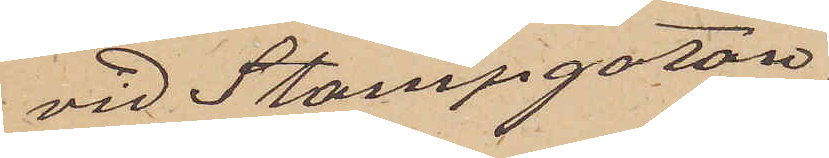vid Stampgatan.
